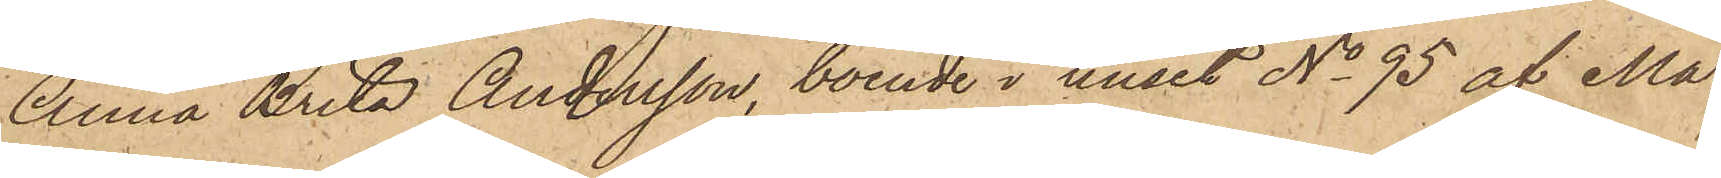Anna Brita Andersson, boende i huset No 95 af Ma¬
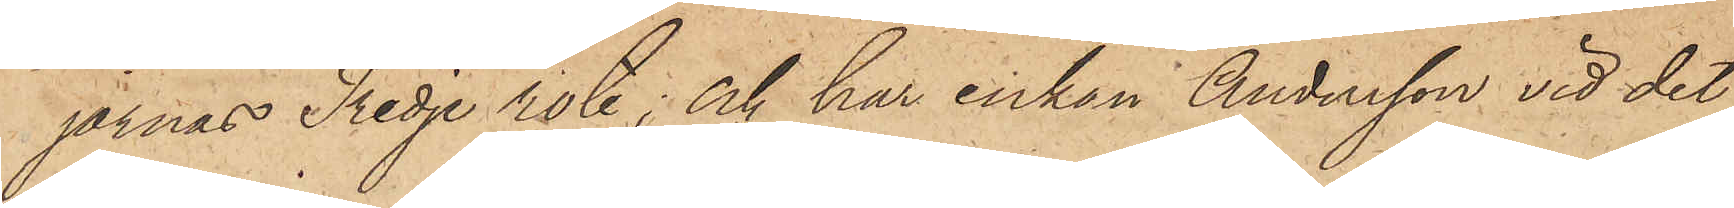jornas Tredje rote; och har enkan Andersson vid det
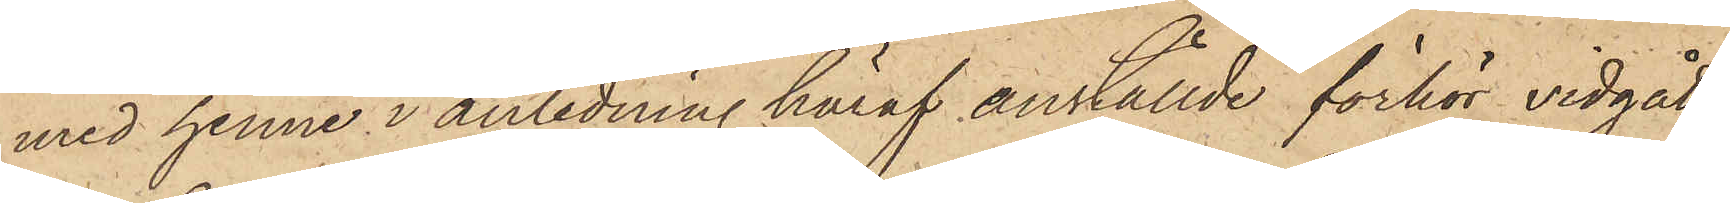med henne i anledning häraf anställde förhör vidgått;
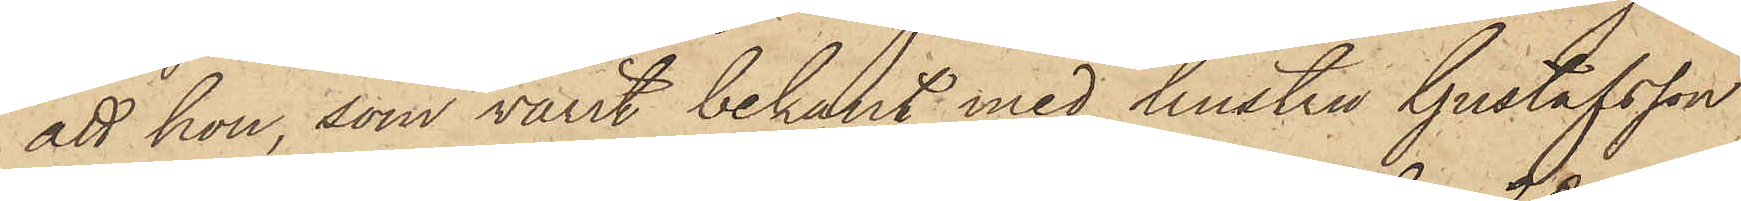att hon, som varit bekant med hustru Gustafsson
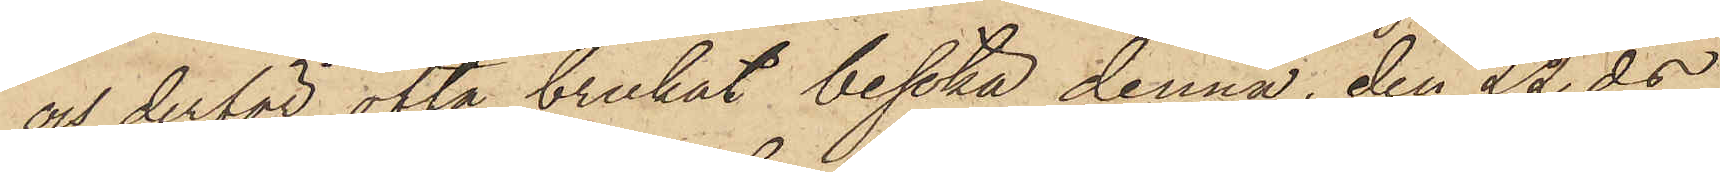och derför ofta brukat besöka denna, den 22 ds
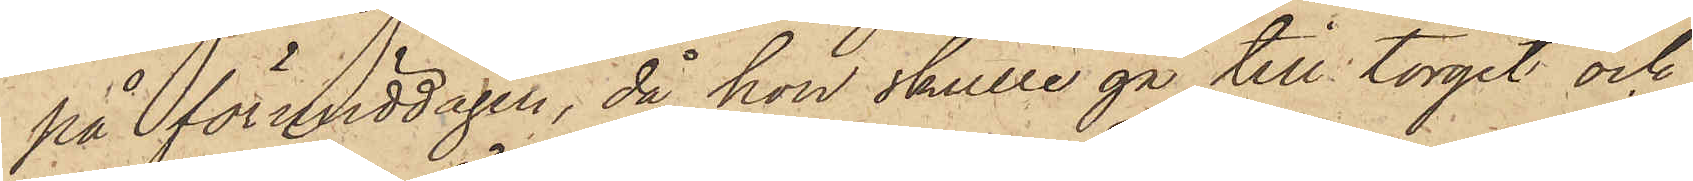på förmiddagen, då hon skulle gå till torget och
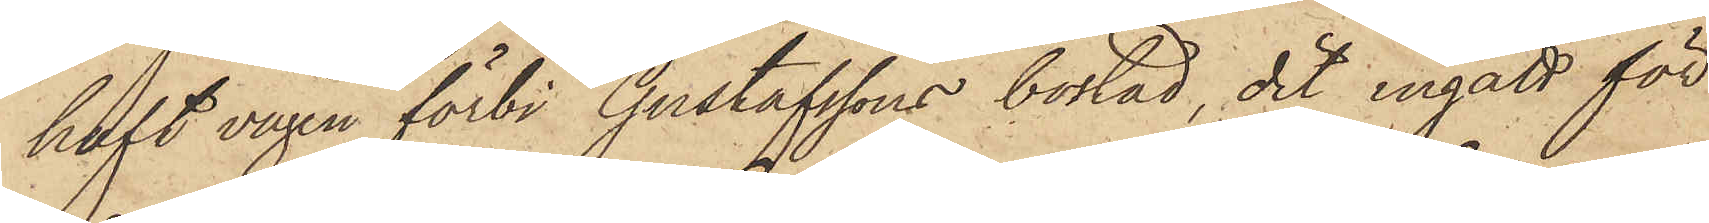haft vägen förbi Gustafssons bostad, dit ingått för
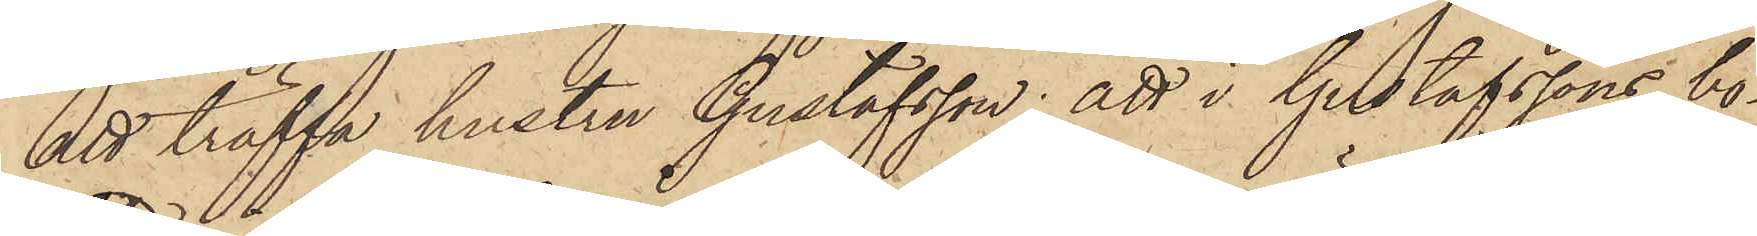att träffa hustru Gustafsson: att i Gustafssons bo¬
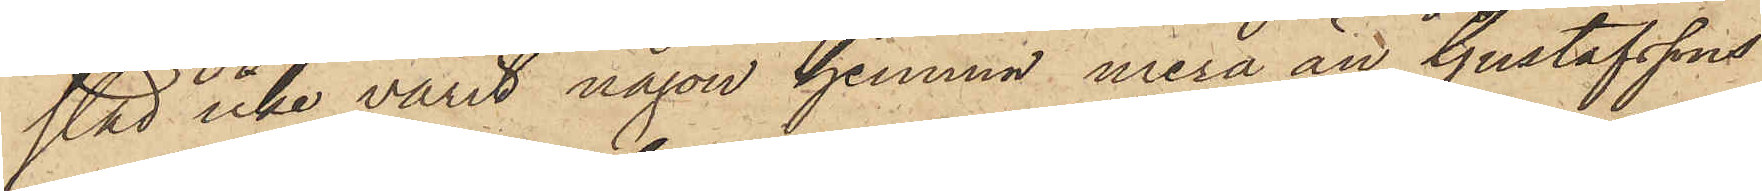stad icke varit någon hemma mera än Gustafssons
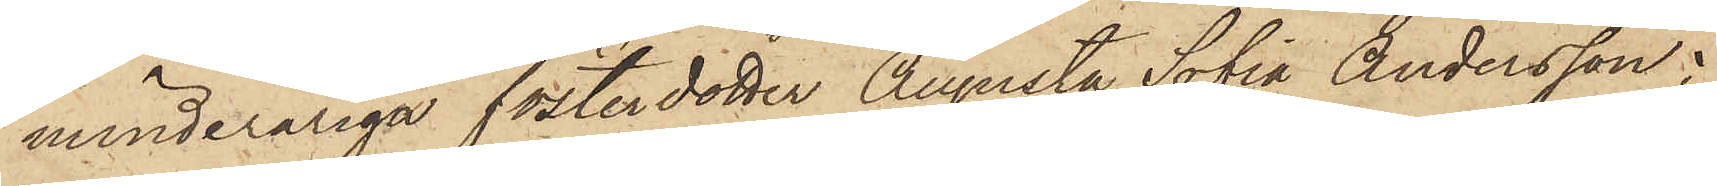minderåriga fosterdotter Augusta Sofia Andersson;
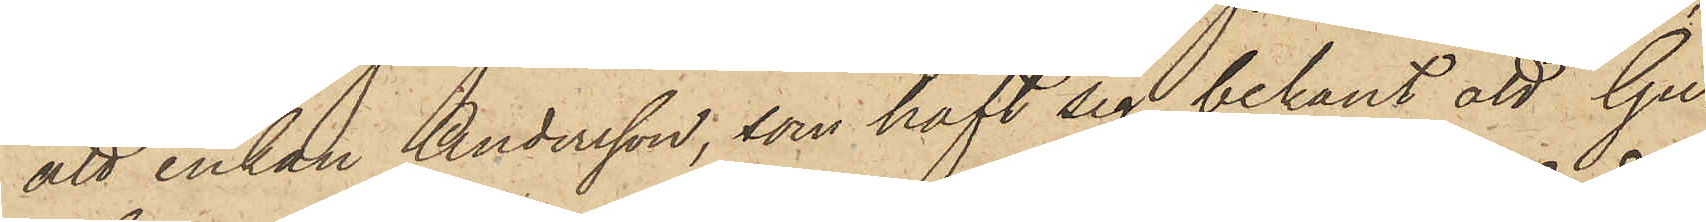att enkan Andersson, som haft sig bekant att Gu¬
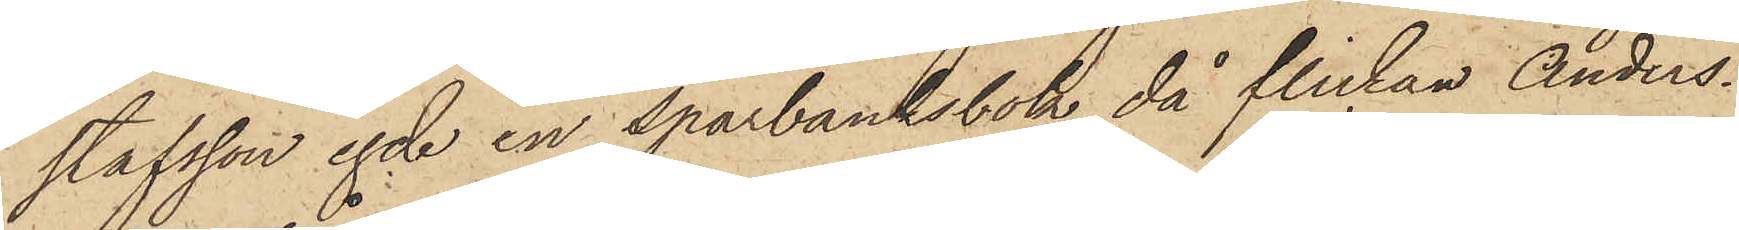stafsson egde en sparbanksbok, då flickan Anders¬
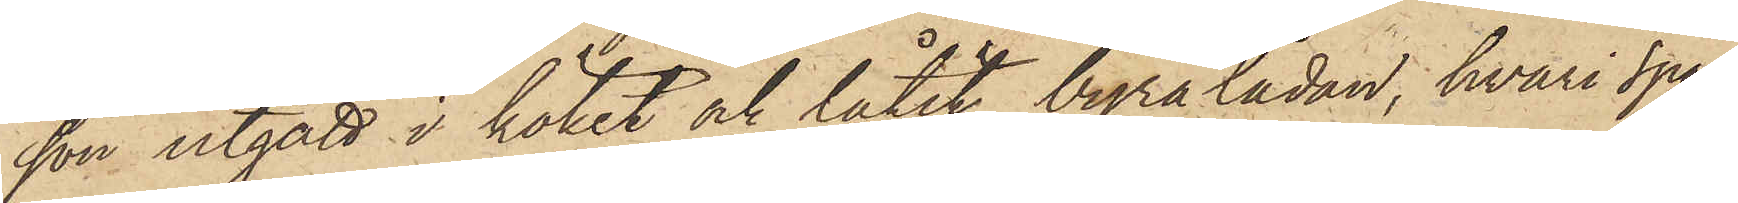son utgått i köket och låtit byrålådan, hvari spar¬
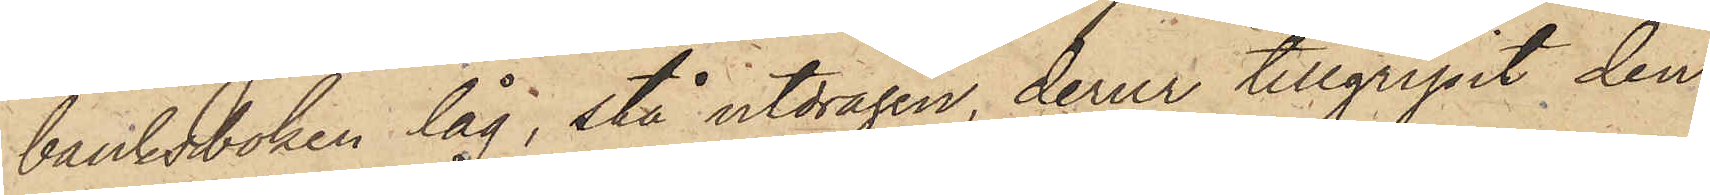banksboken låg, stå utdragen, derur tillgripit den¬
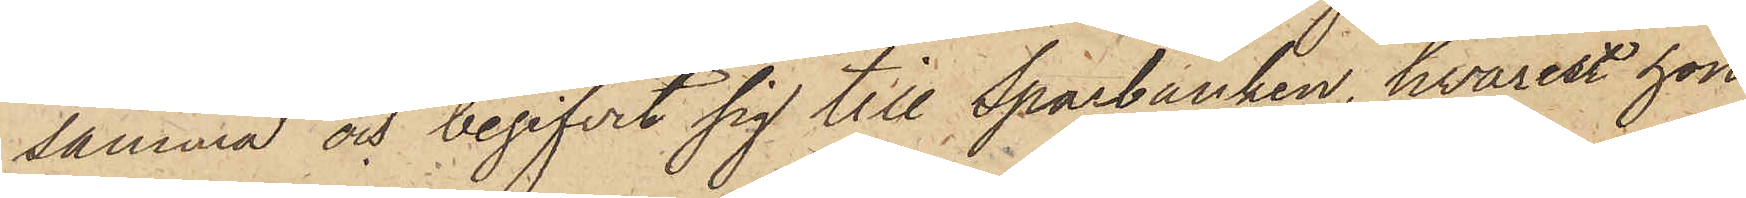samma och begifvit sig till Sparbanken, hvarest hon
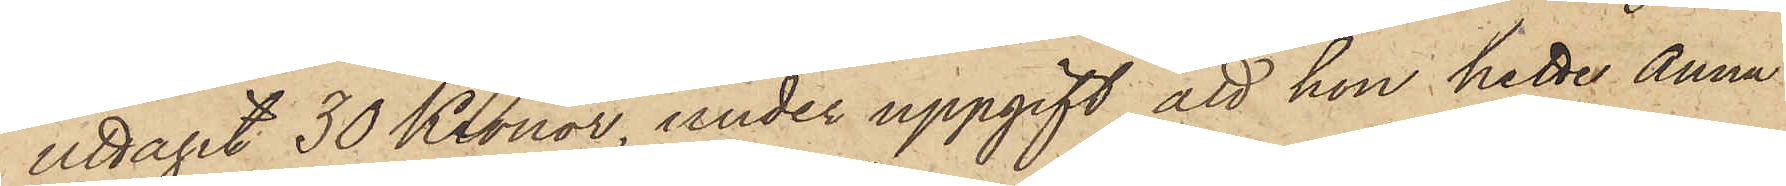uttagit 30 Kronor, under uppgift att hon hette Anna
